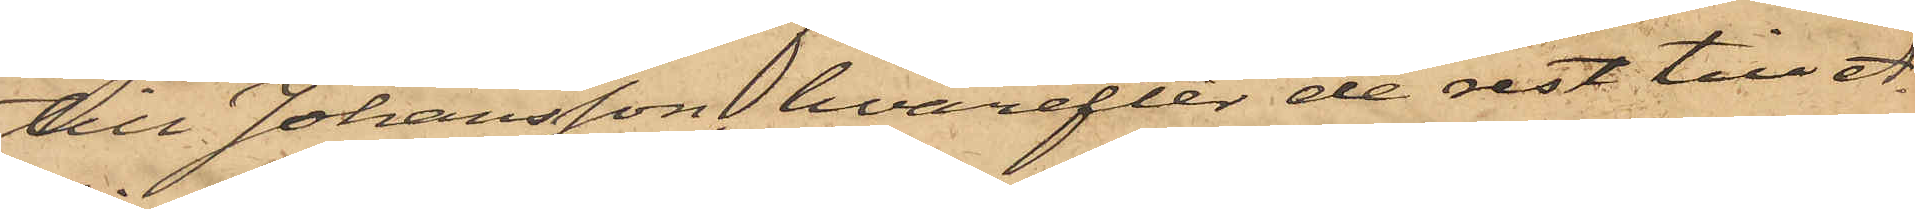till Johansson, hvarefter de rest till A¬
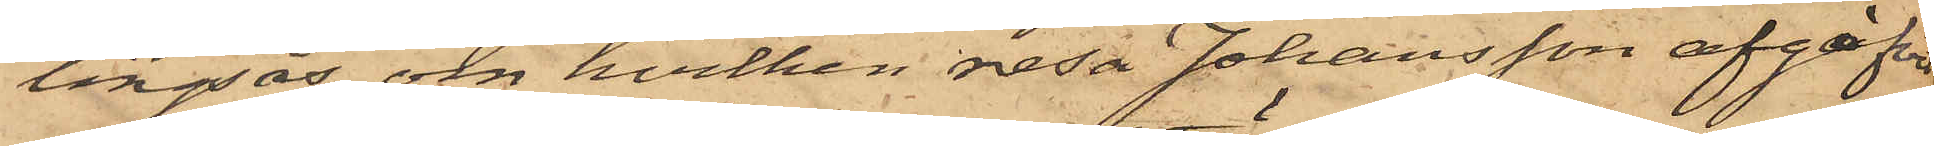lingsås, om hvilken resa Johansson afgifvit
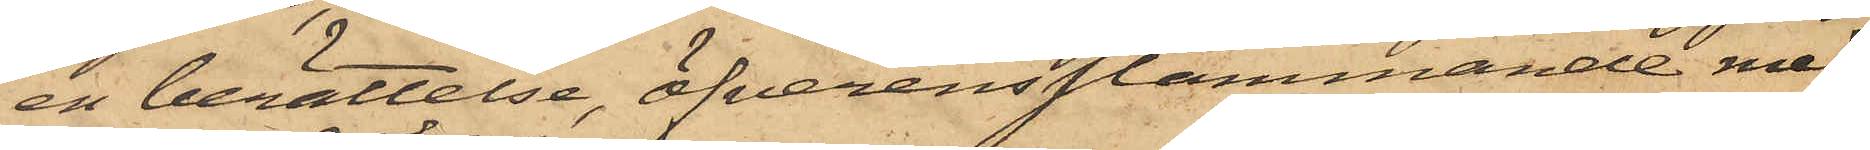en berättelse, öfverensstämmande med
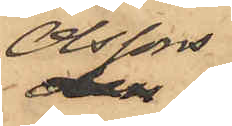Olssons
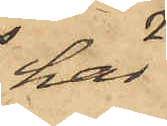här
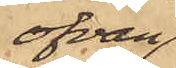ofvan
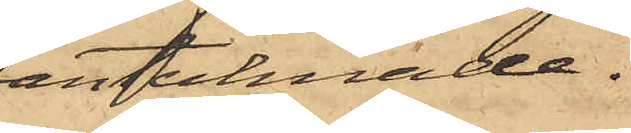antecknade.
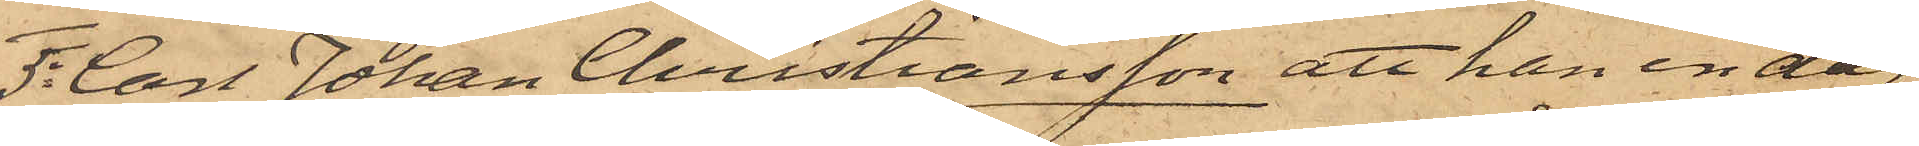5o Carl Johan Christiansson att han en dag
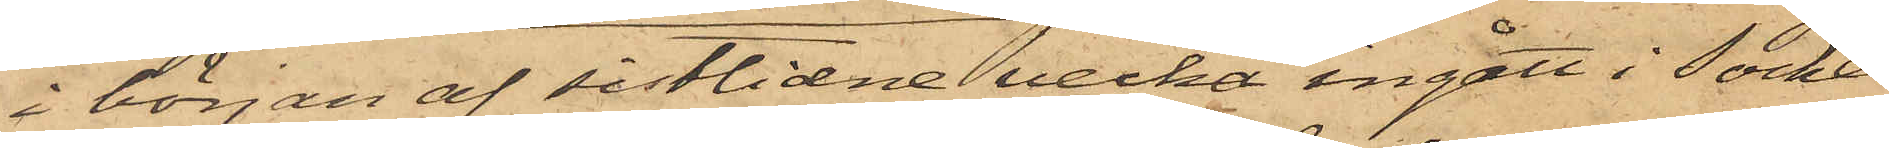i början af sistlidne vecka ingått i socker¬
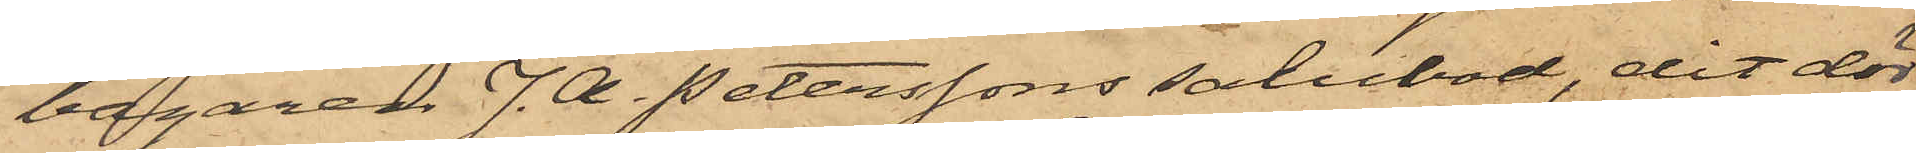bagaren J. A. Peterssons salubod, dit dör¬
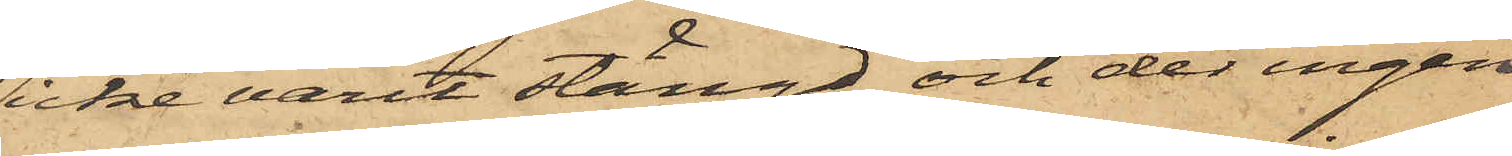icke varit stängd och der ingen
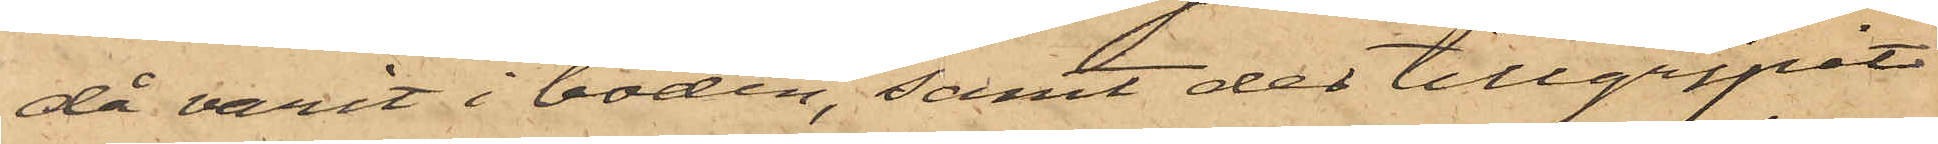då varit i boden, samt der tillgripit
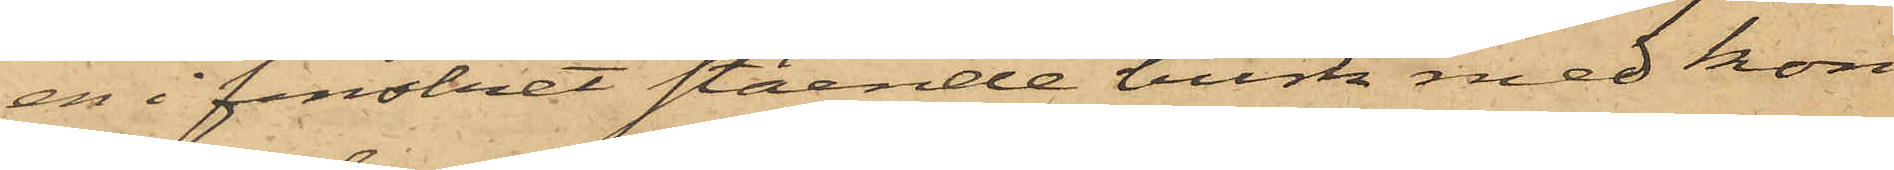en i fenstret stående burk med kon¬
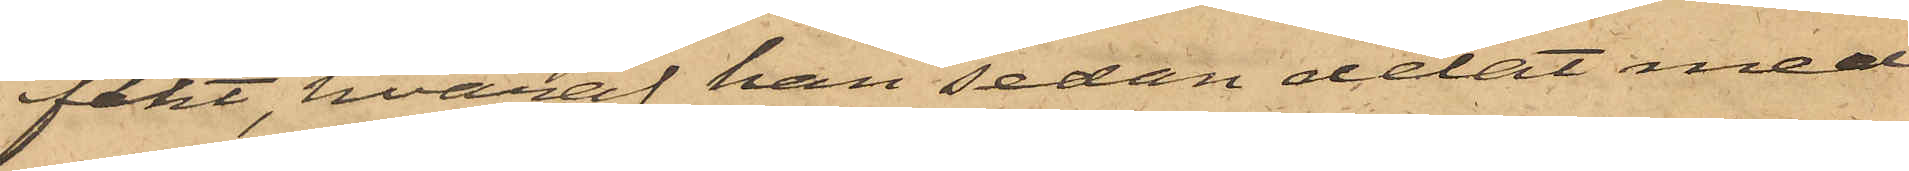fekt, hvaraf han sedan delat med
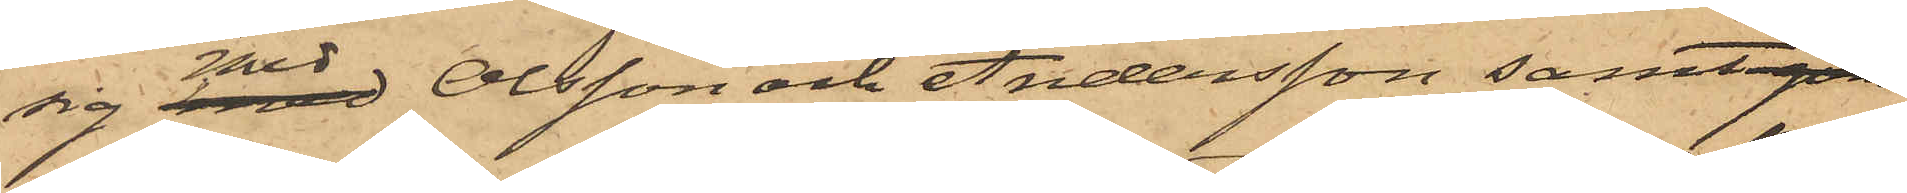sig med Olsson och Andersson samt gon
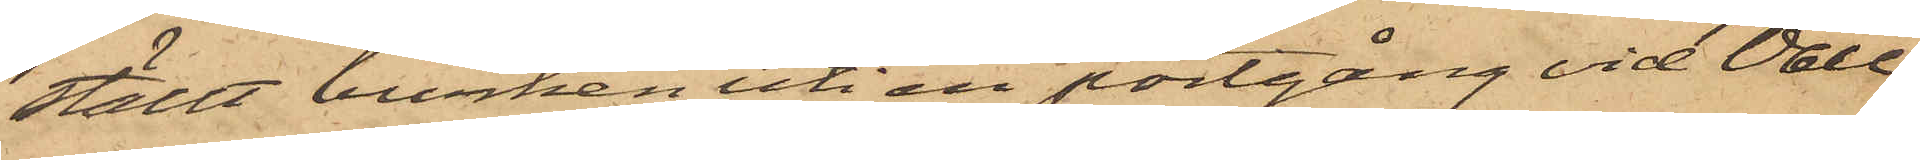ställt burken uti en portgång vid Vall¬
